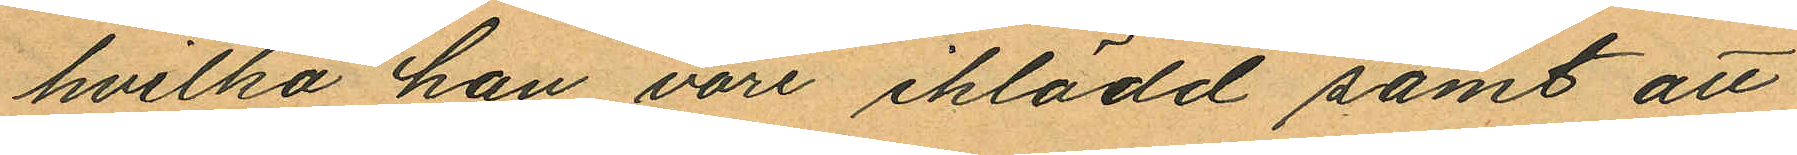hvilka han vore iklädd samt att
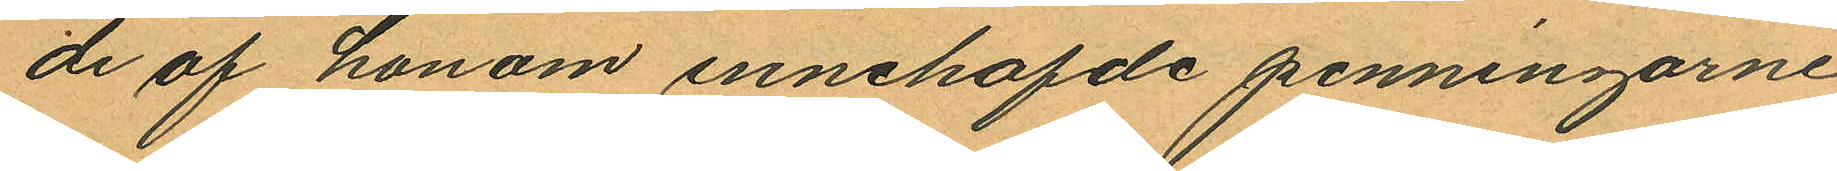de af honom innehafde penningarne
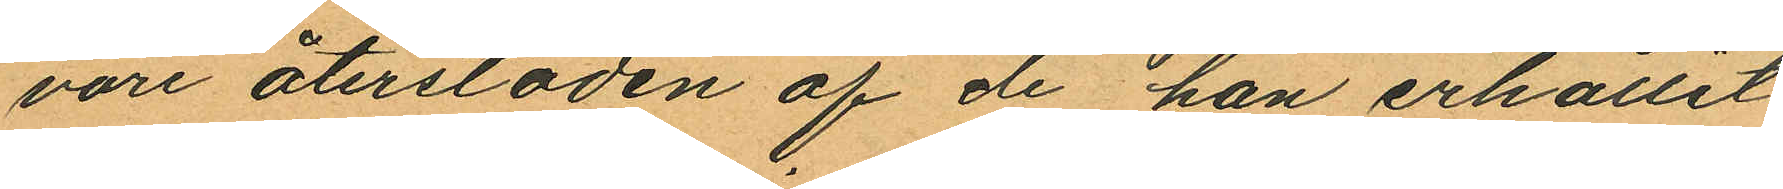vore återstoden af de han erhållit
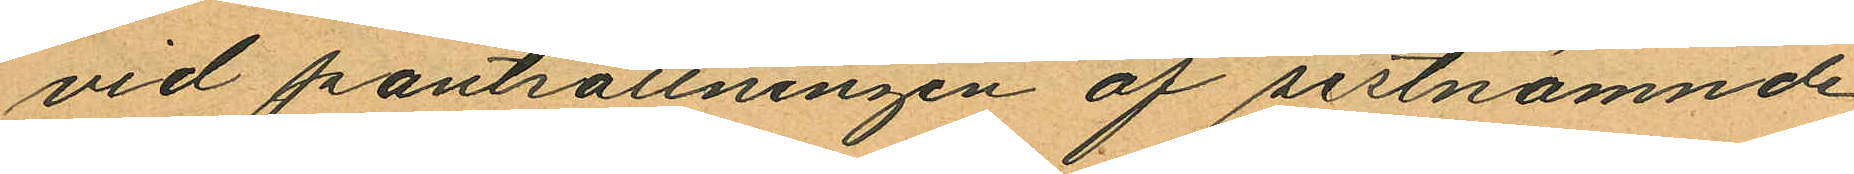vid pantsättningen af sistnämnde
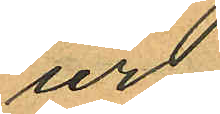ur.
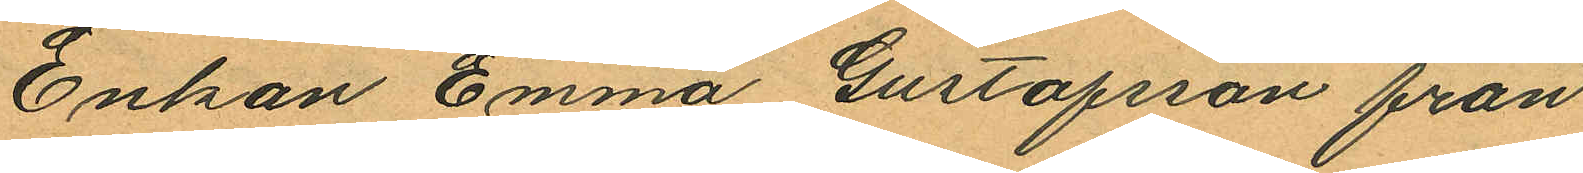Enkan Emma Gustafsson från
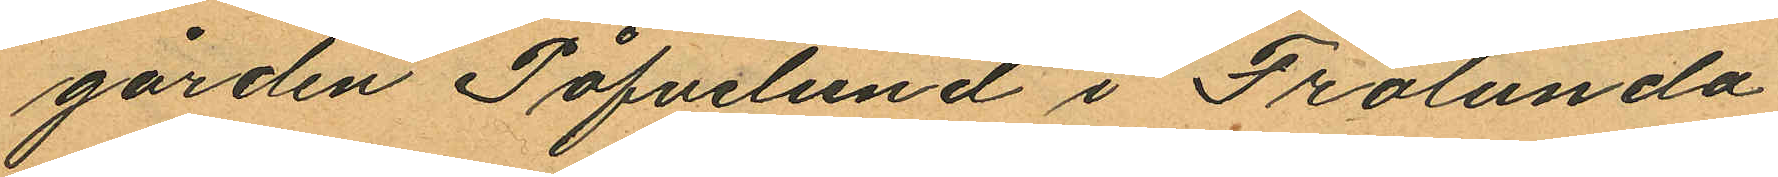gården Påfvelund i Frölunda
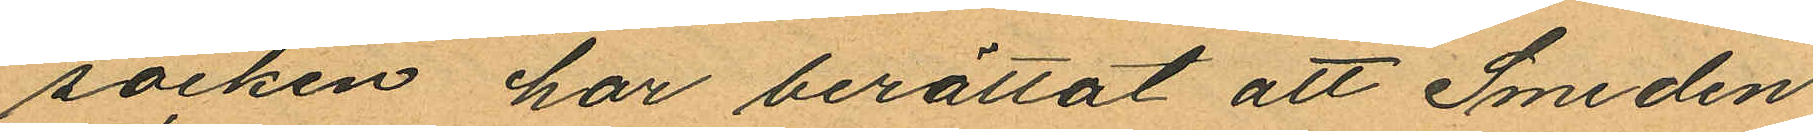socken har berättat att Smeden
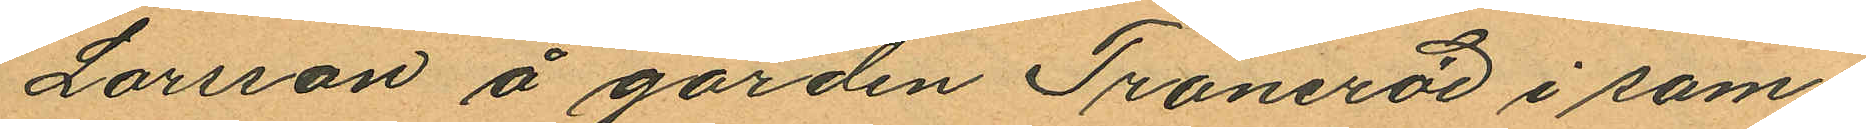Larsson å gården Traneröd i sam¬
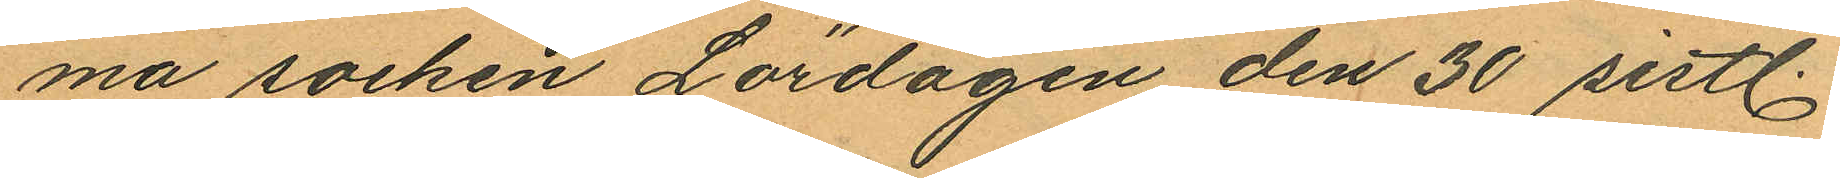ma socken Lördagen den 30 sistl.
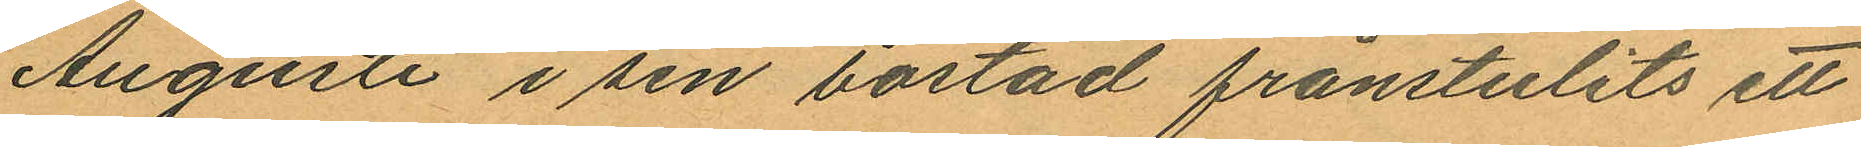Augusti i sin bostad frånstulits ett
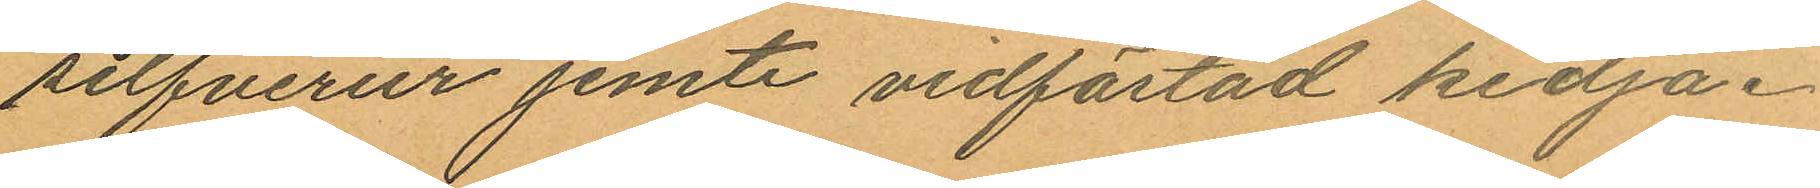silfverur jemte vidfästad kedja.
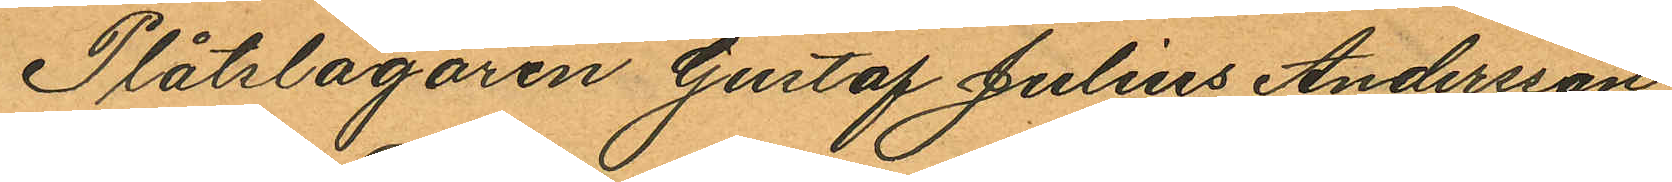Plåtslagaren Gustaf Julius Andersson,
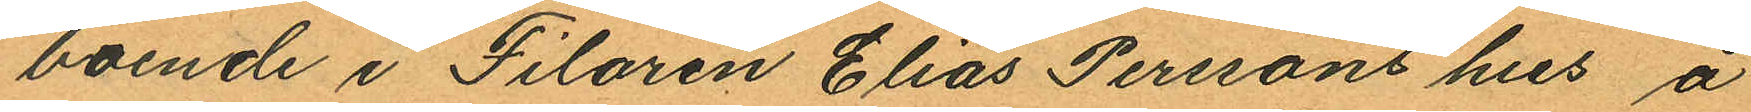boende i Filaren Elias Perssons hus å
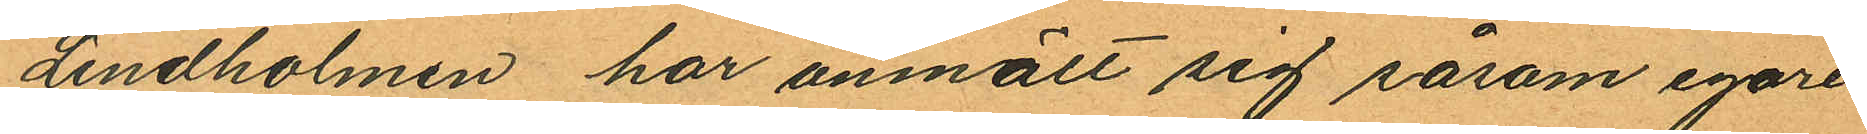Lindholmen har anmält sig såsom egare
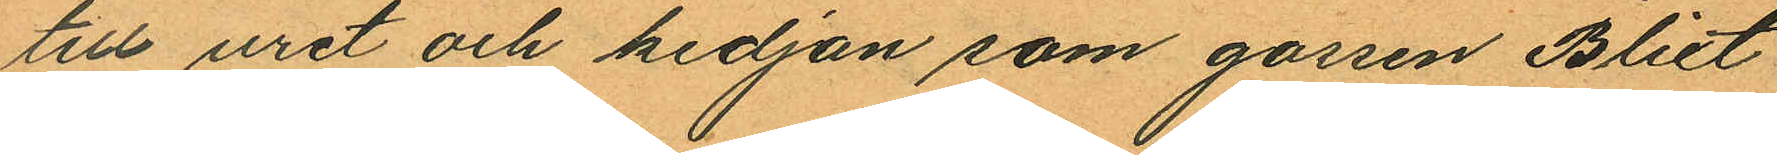till uret och kedjan som gorsen Blixt
